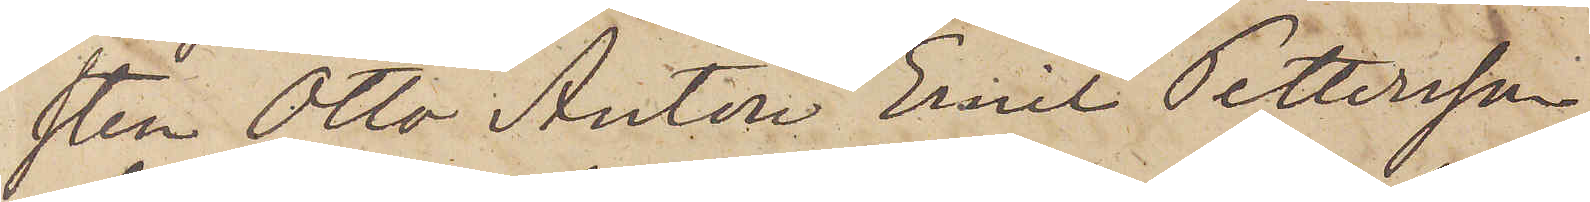sten Otto Anton Emil Pettersson
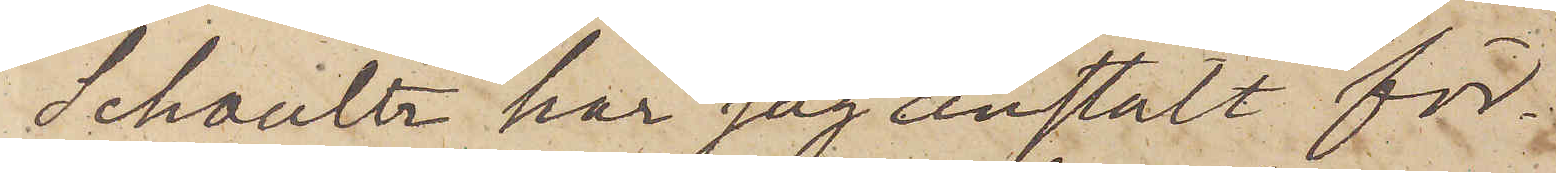Schultz har jag anstält för¬
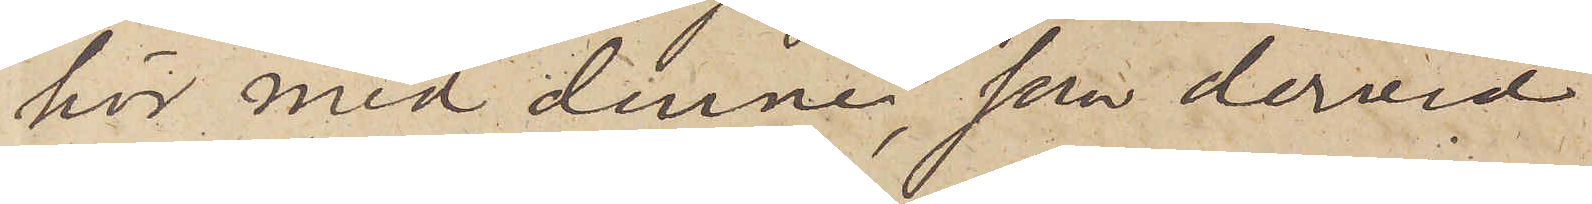hör med denne, som dervid
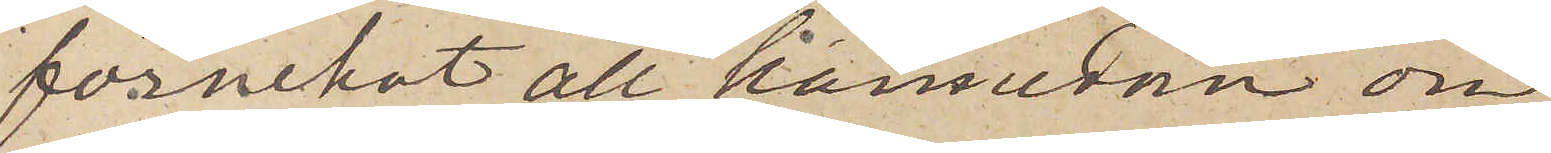förnekat all kännedom on
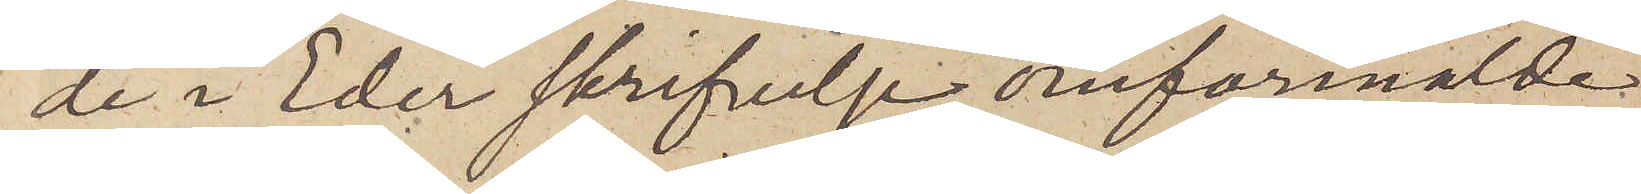de i Eder skrifvelse omförmälde
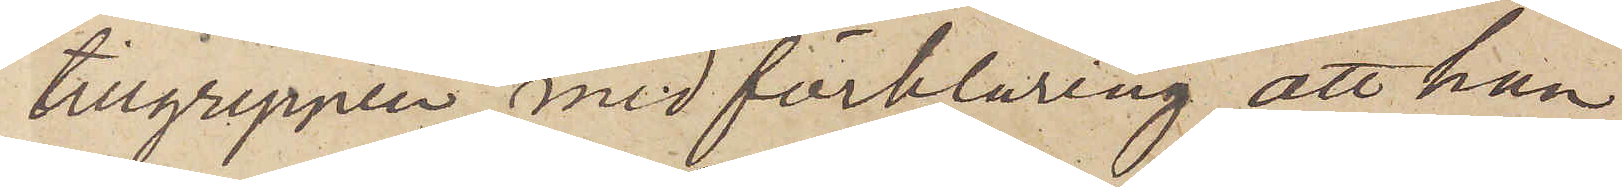tillgreppen med förklaring, att han
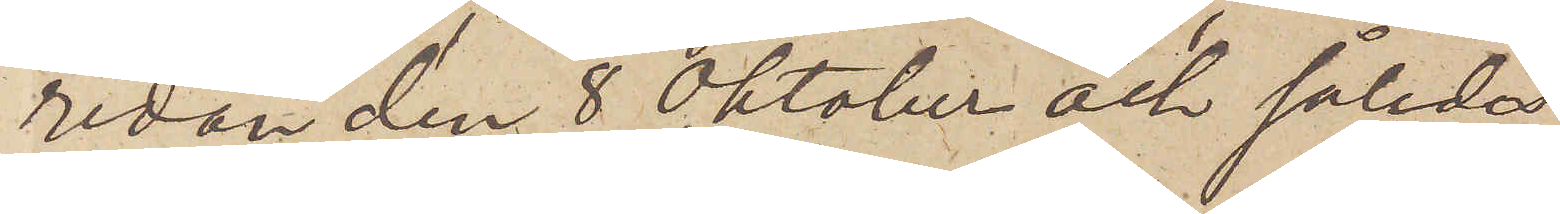redan den 8 Oktober och såleda
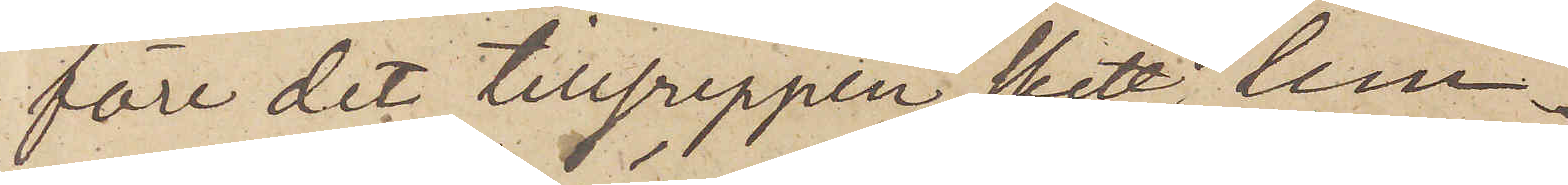före det tillgreppen skett, lem¬
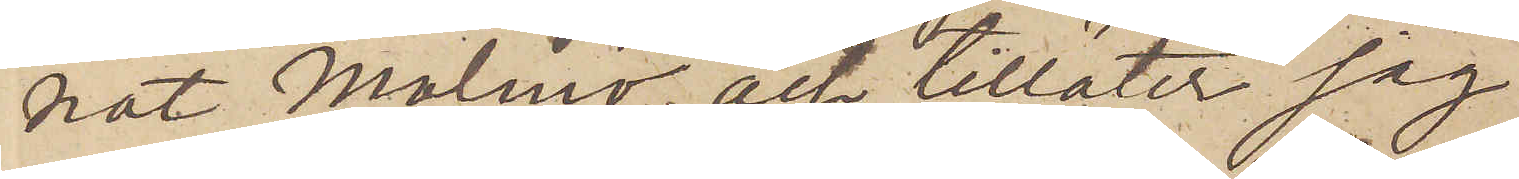nat Malmö; och tillåter jag
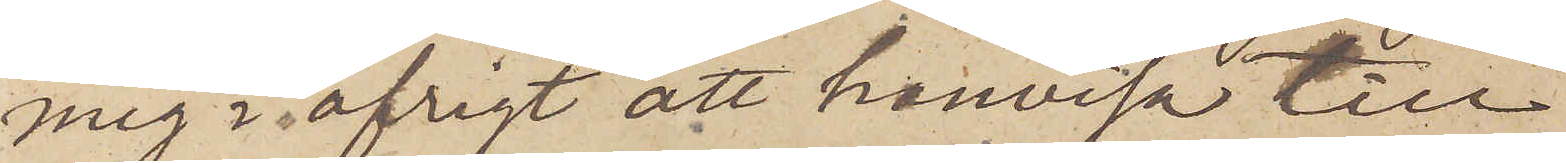mig i öfrigt att hänvisa till
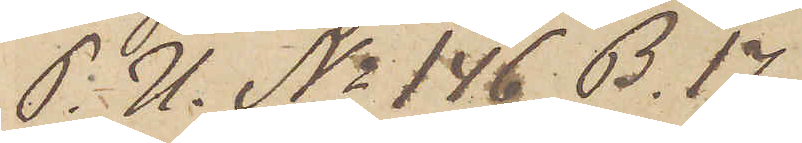P. U. No 146 B. 17.
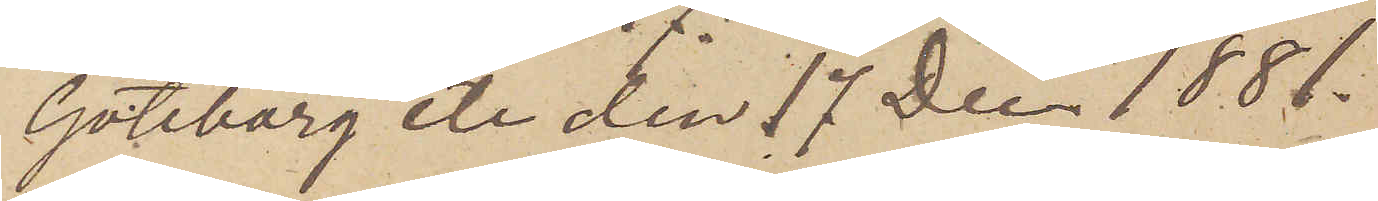Göteborg etc den 17 Dec. 1881.
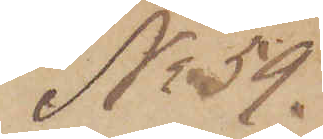No 59.
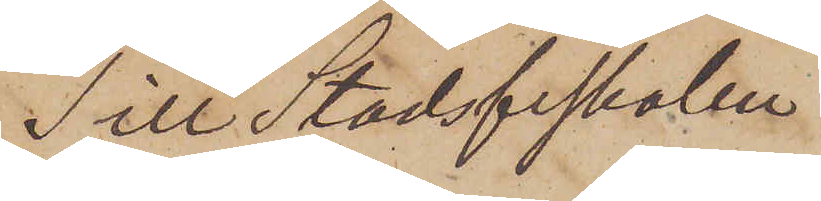Till Stadsfiskalen
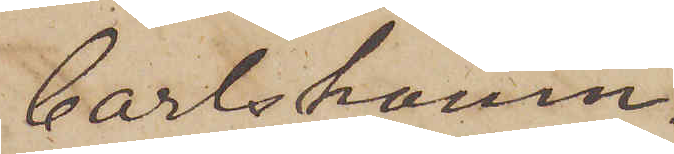Carlshamn.
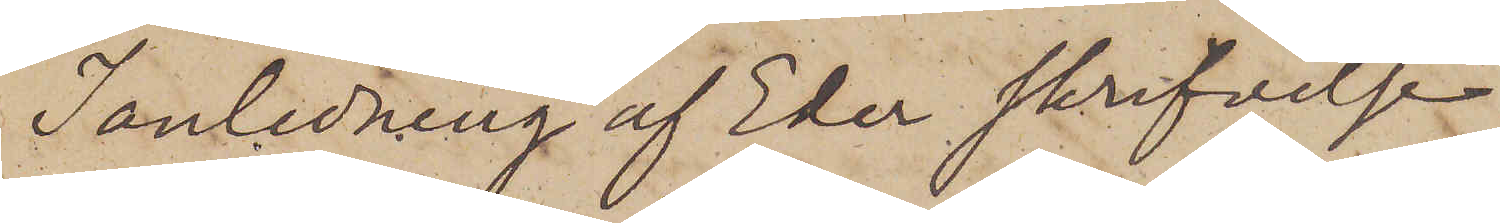I anledning af Eder skrifvelse
